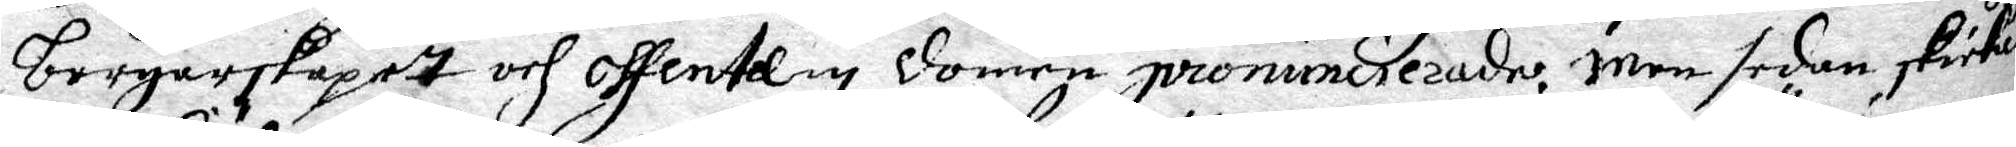borgerslapet och offentelig domen pronuncierade. Men sedan skickades
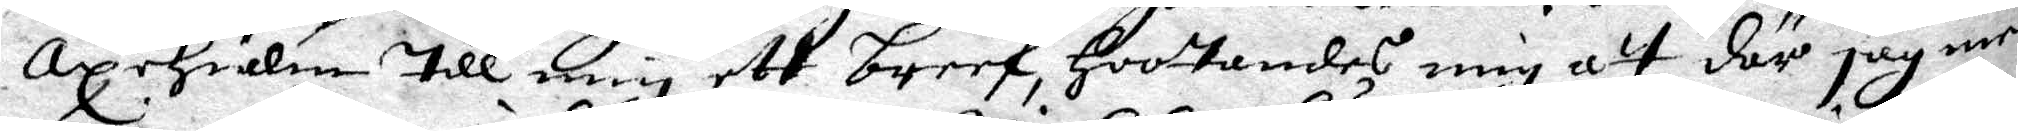Axehielm till mig ett breef, hootandes mig at där jag med
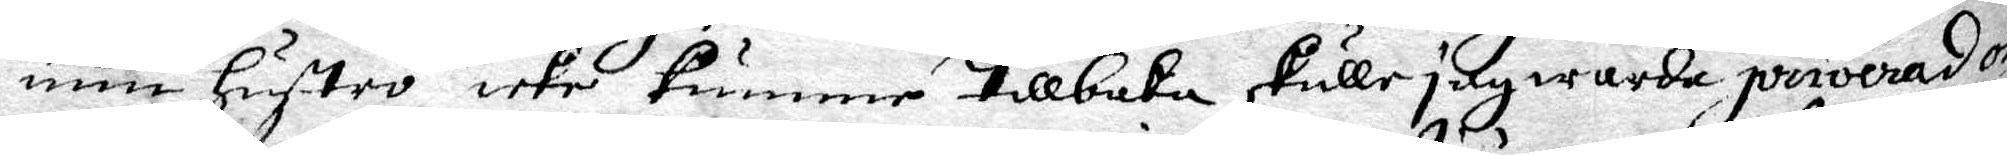min hustro icke kommer tillbaka skulle jag warda priverad os¬
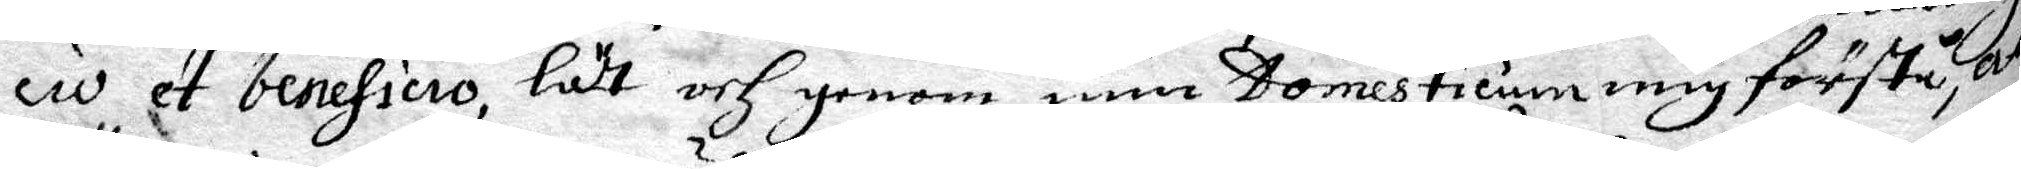civ et beneficio, lät och genom min Domesticum mig förstå att
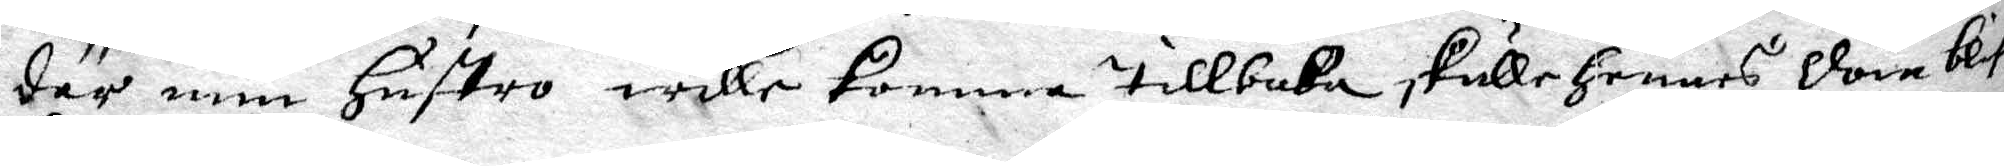där min hustro wille komma tillbaka akulle hennes dom blifwa
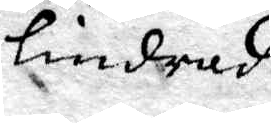lindrad.
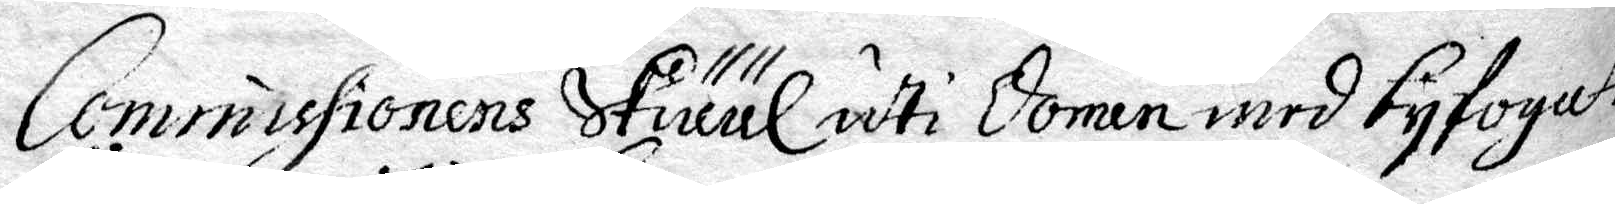Commissionens skääl uti Domen byfogatt
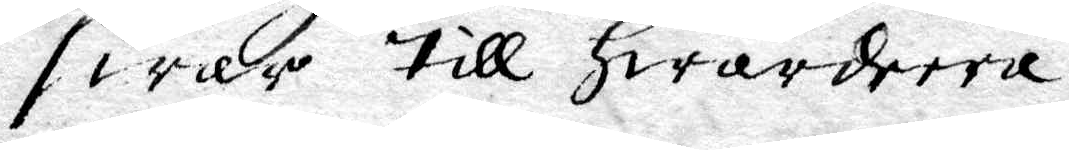swar till hwardeera.
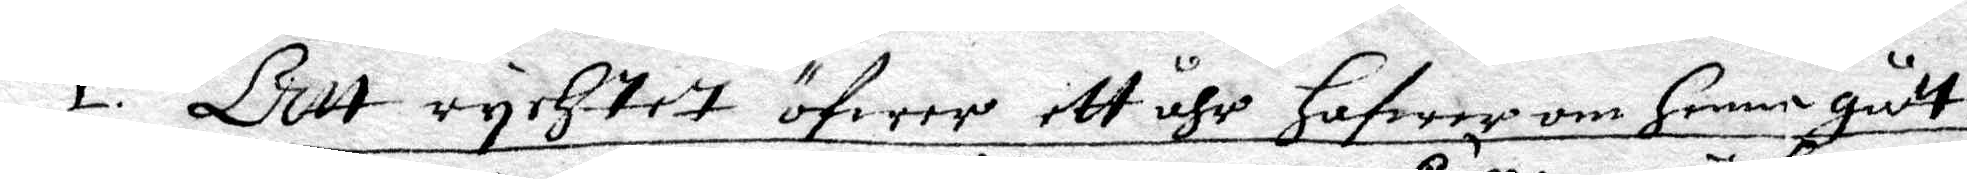1. Att rychtet öfwer ett åhr hafwer om henne gått.
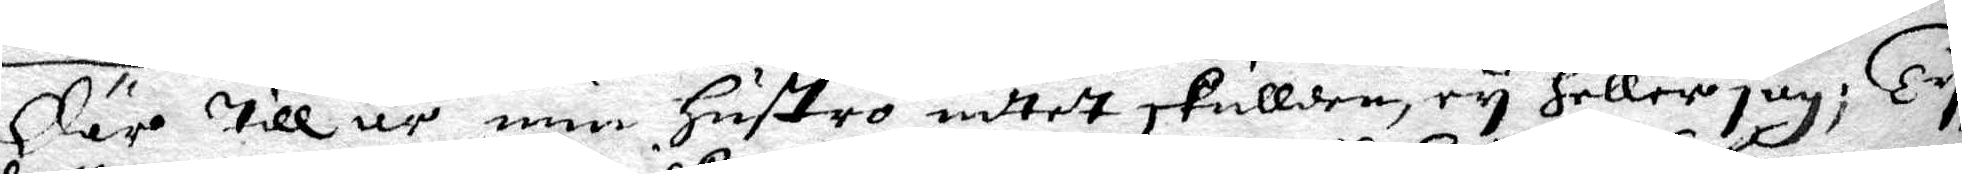Där till är min hustro intet skullden, ey heller jag; Ty
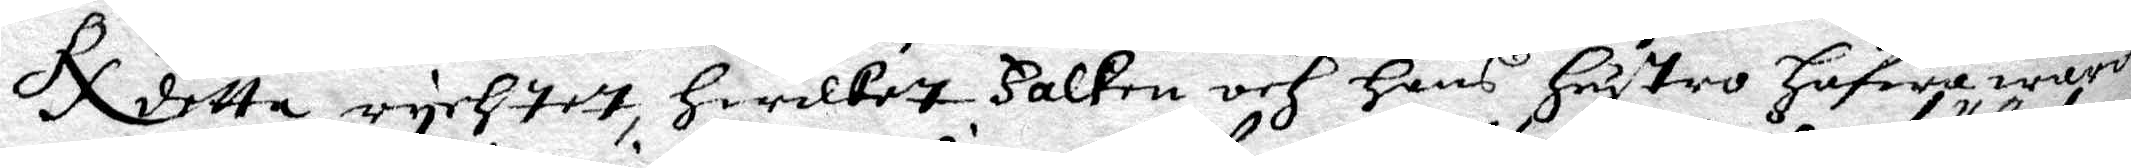RX detta rychtet, hwilket Falken och hans hustro hafwa warit
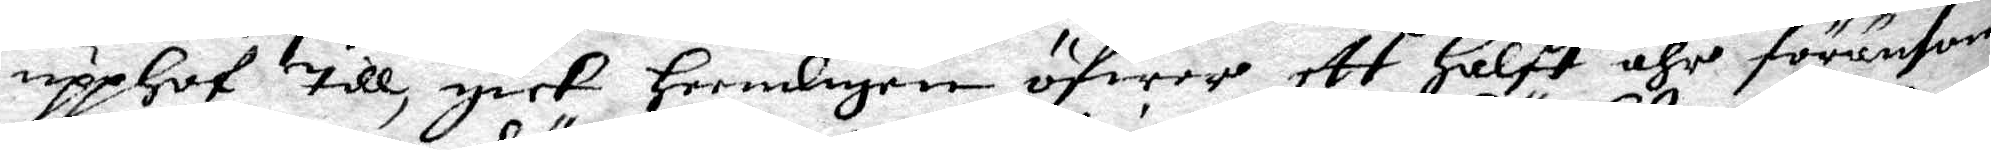upphof till, gick heembligen öfwer ett halft åhr föränsom
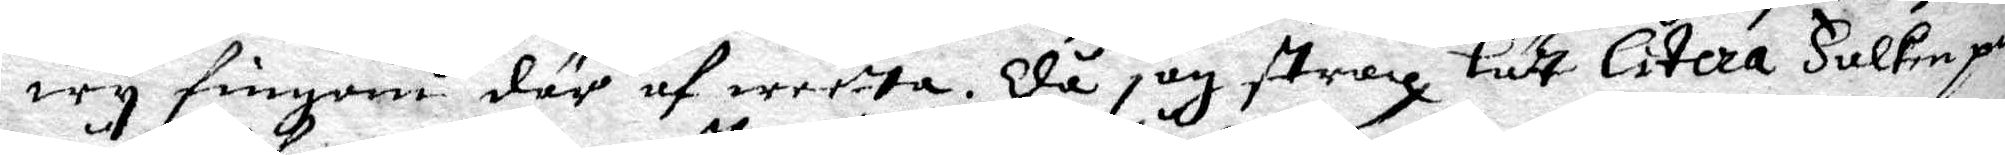wy fingom där af wetta. Då jag strax lät citera Falken på
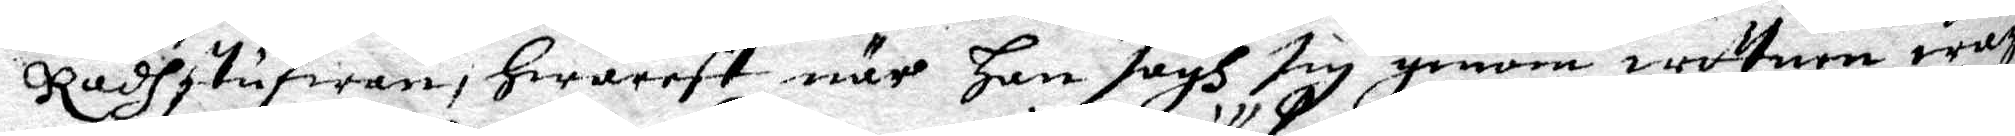Rådhstufwan, hwarest när han sågh sig genom wittnen waga
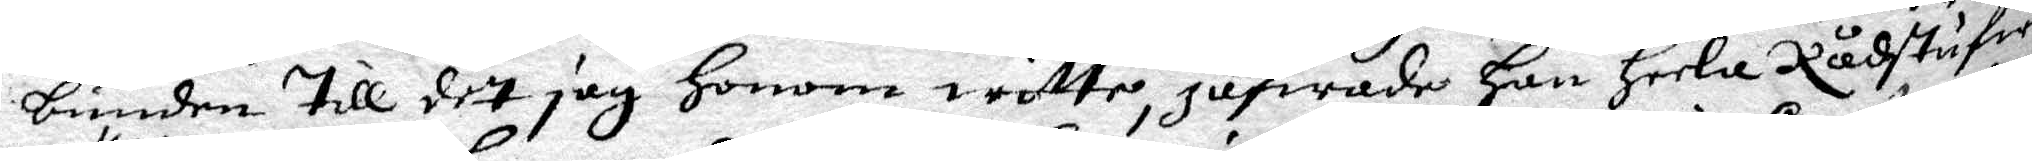bunden till det jag honom witte, jäfwade han heela Rådstufwo¬
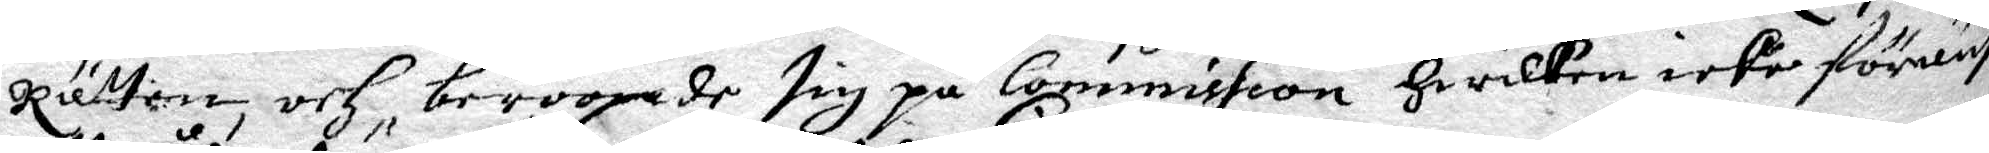Rätten, och beroopade sig på Commission hwilken icke föreäfwen
